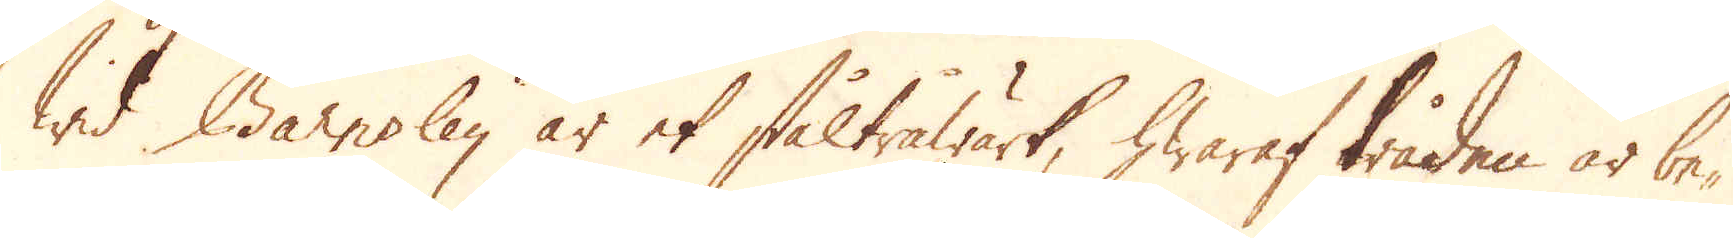Wid Barnsley är et ståltråwärk, hwaraf tråden är be-
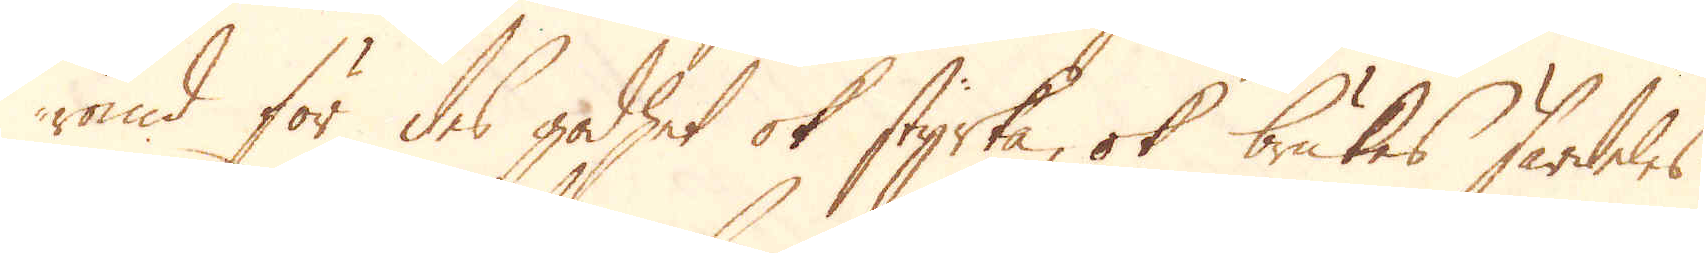römd för des godhet ok styrka, ok brukas särdeles
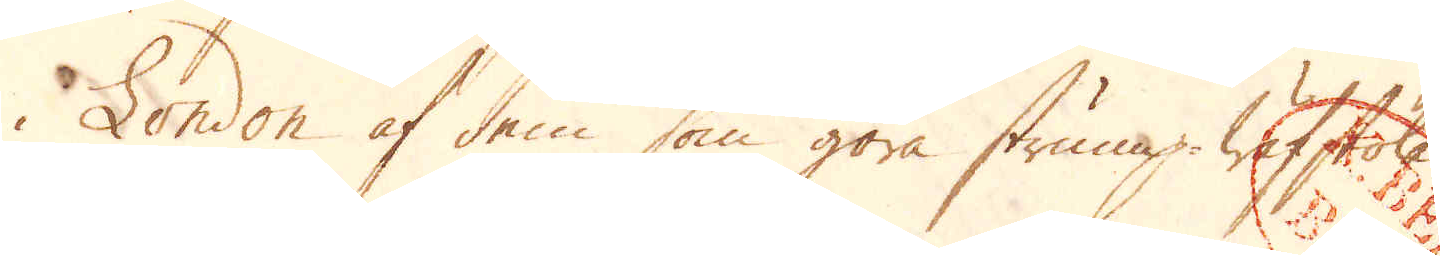i London af dem som göra strump-Wäfstolar.
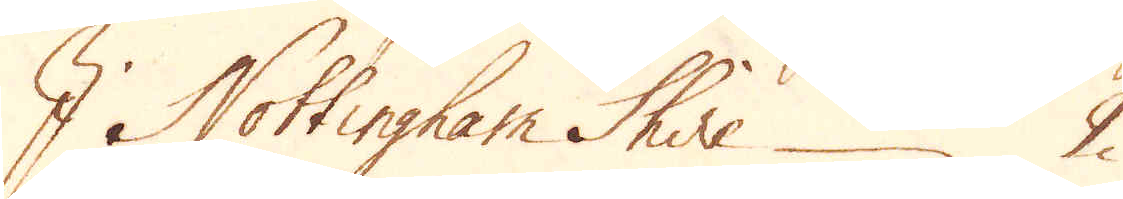I Nottingham Shire 2
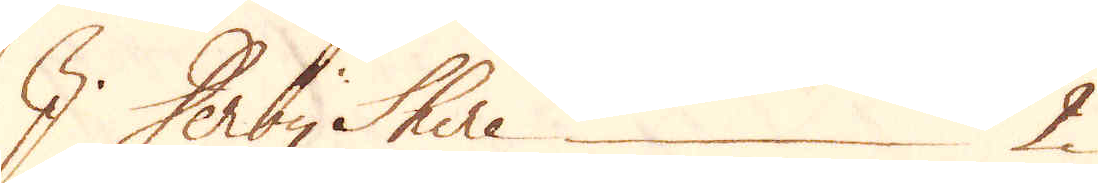I Derby Shire 2
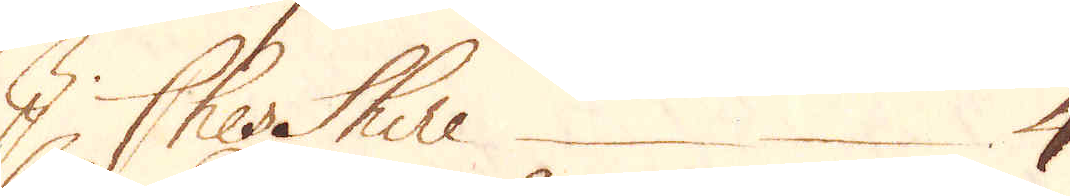I Ches Shire 4
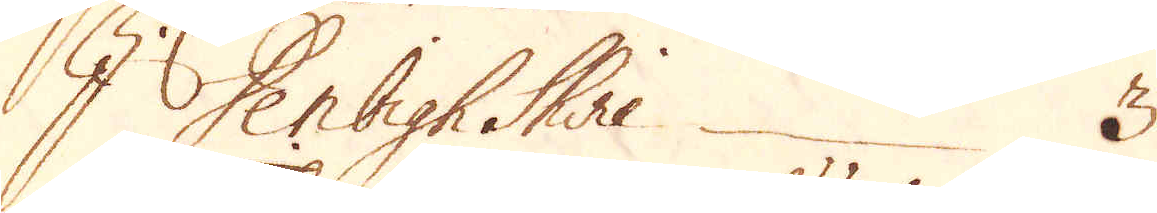I Denbigh Shire 3
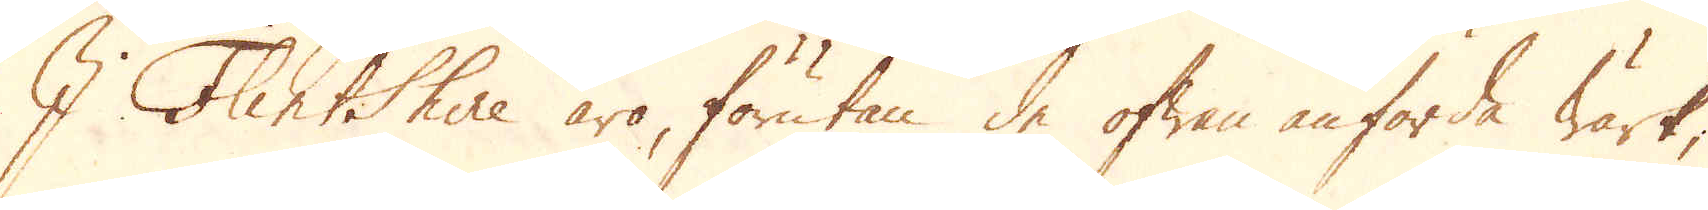I Flintshire äro, förutan de ofwan anförde wärk,
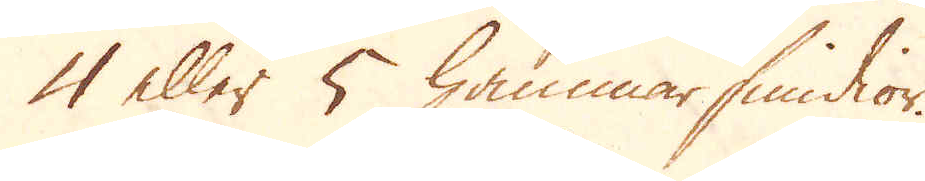4 eller 5 hammarsmidior.
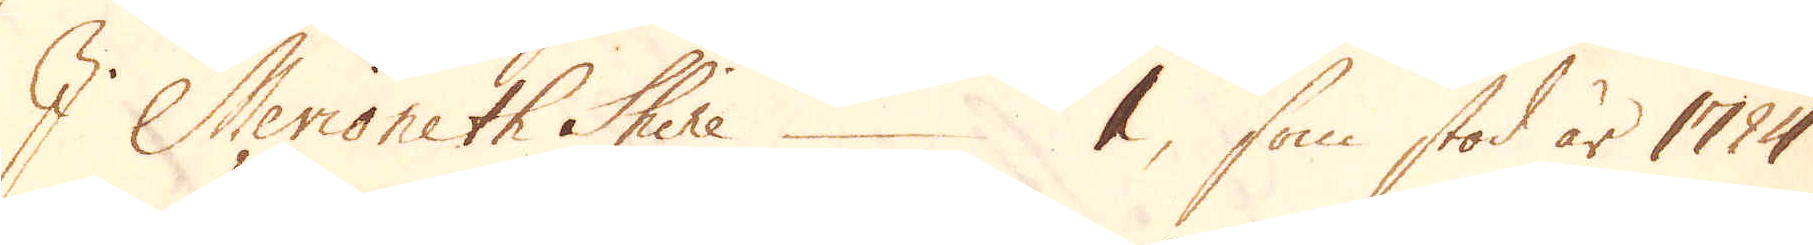I Merioneth Shire 1, som stod år 1724
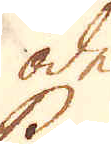öde.
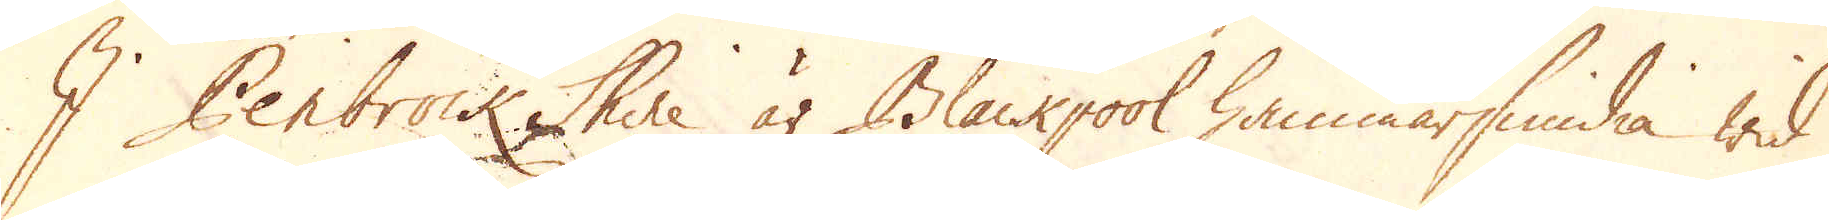I Penbrock Shire är Blackpool hammarsmidia wid
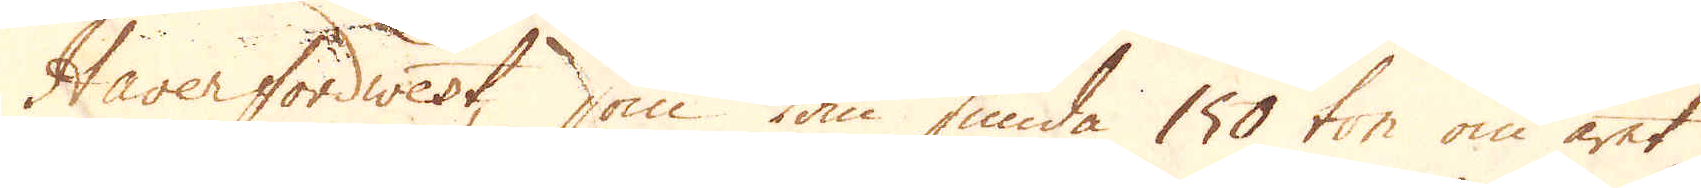Haverfordwest, som kan smida 150 ton om året,
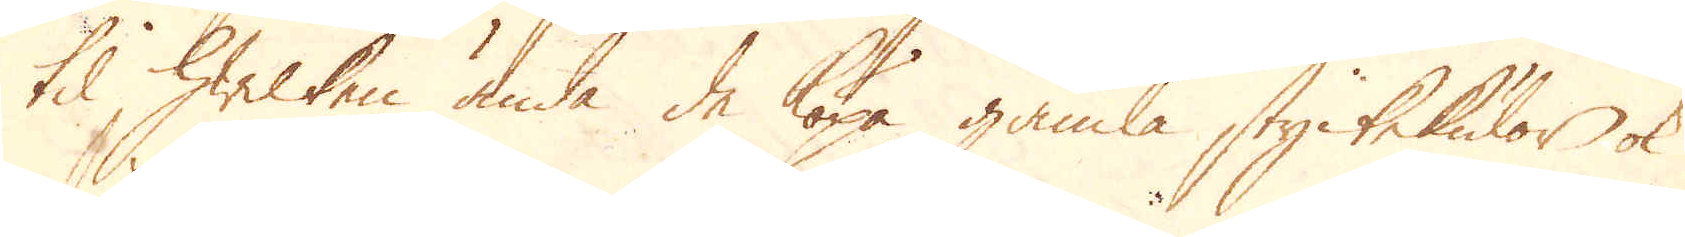til hwilken ända de köpa gamla styckekulor ok
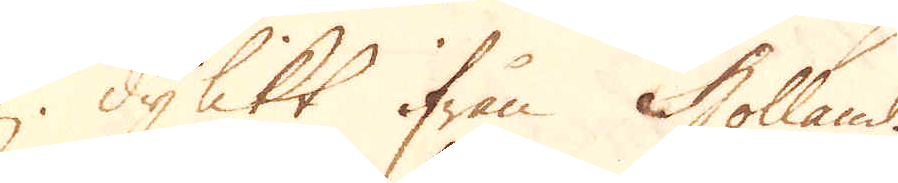dylikt ifrån Holland.
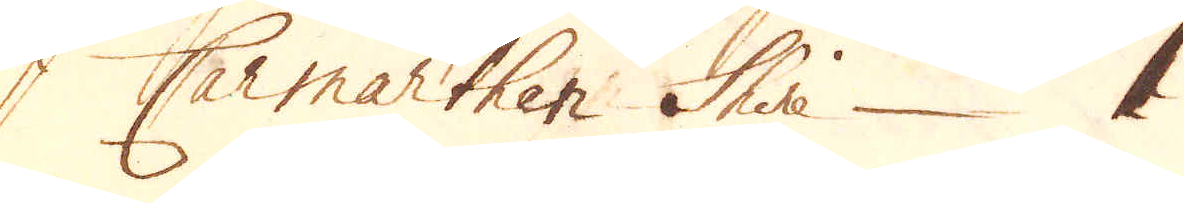I Carmarthen Shire 1
